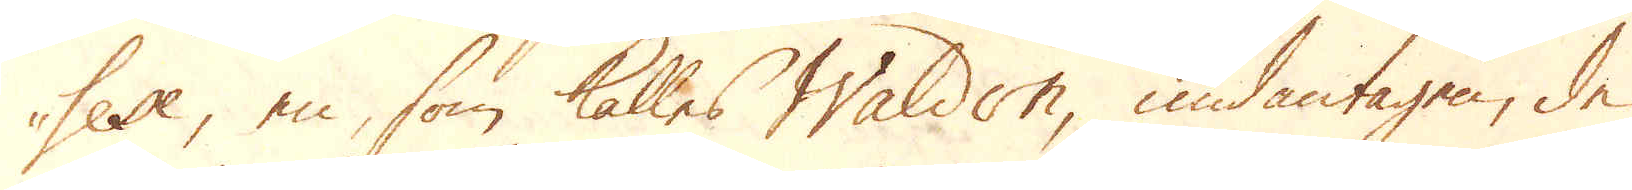sex, en, som kallas Waldon undantagen, de
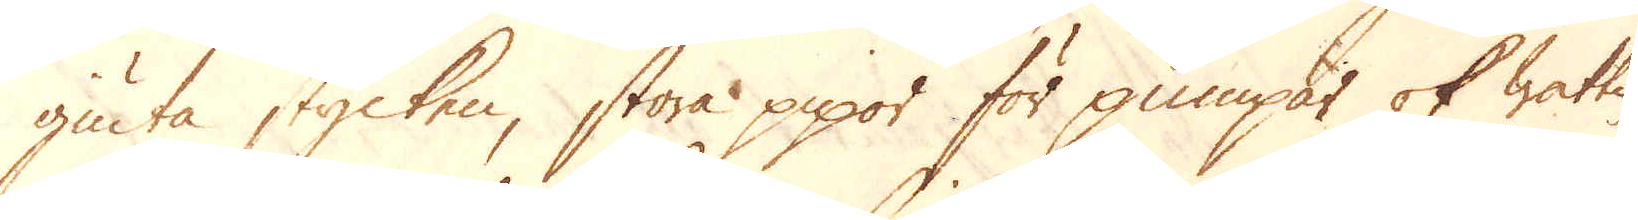giuta stycken, stora pipor för pumpar ok wattu-
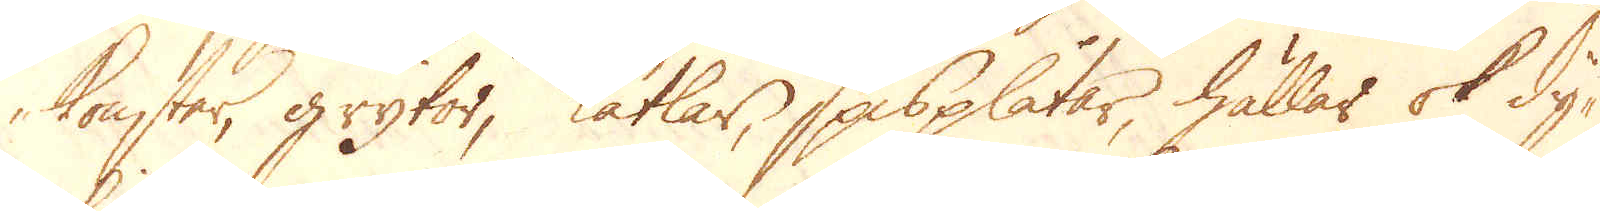konster, grytor, Kätlar, Spisplåtar, hällar ok dy-
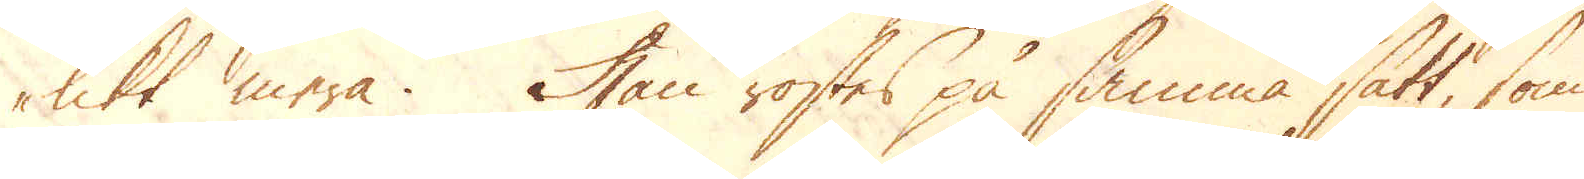likt mera. Han rostes på samma sätt, som
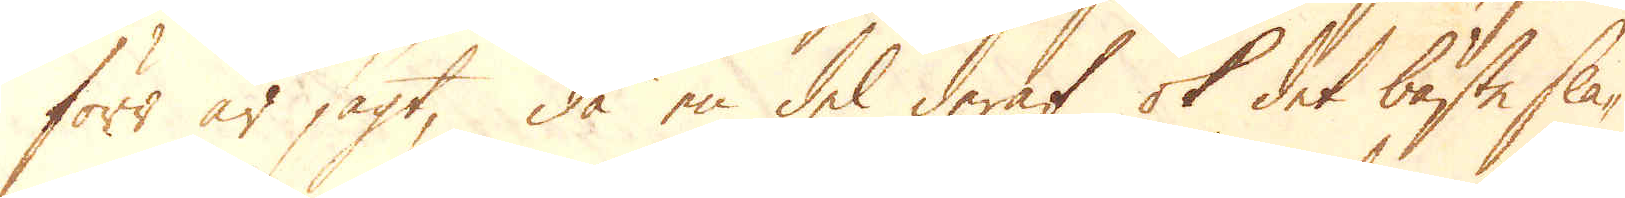förr är sagt, då en del deraf ok det bäste sla-
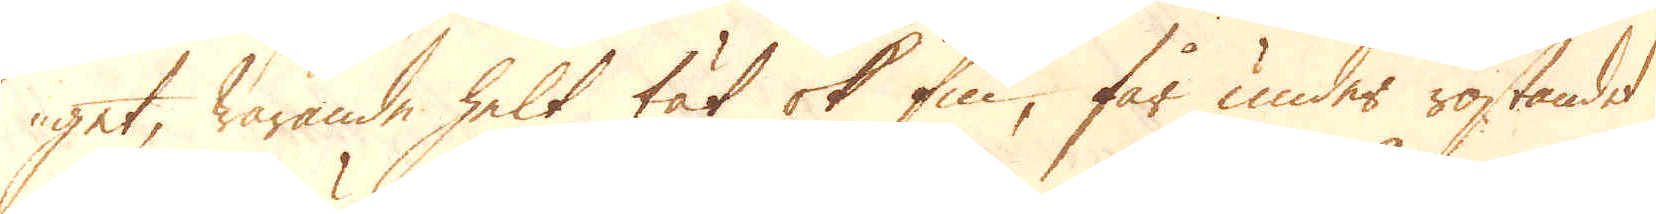get, warande helt tät ok fin, får under rostandet
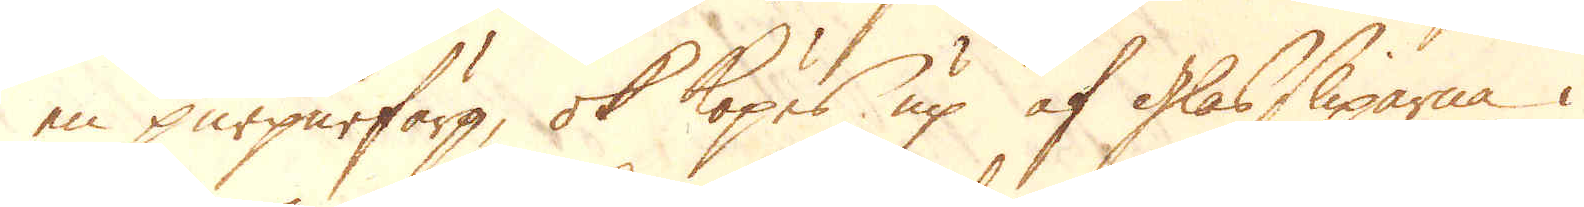en purpurfärg, ok köpes up af glassliparna i
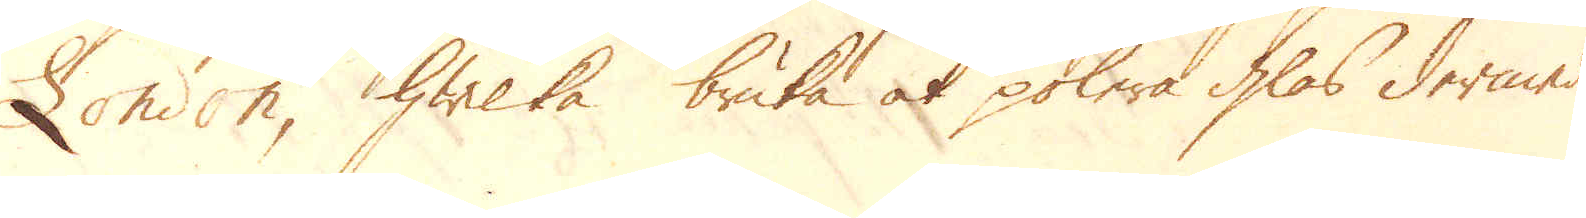London, hwilka bruka at polera glas dermed
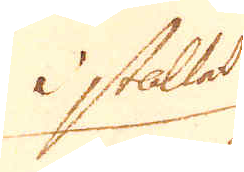i stället
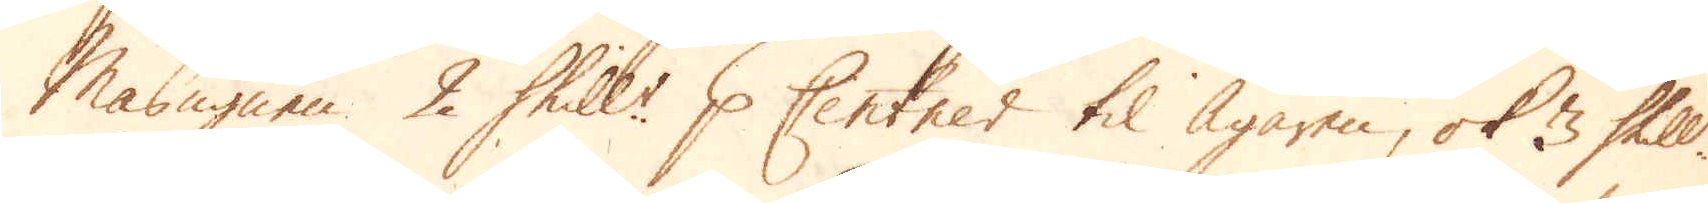Masugnen 2 Skill:r p Centner til Ägaren, ok 3 Skill:r
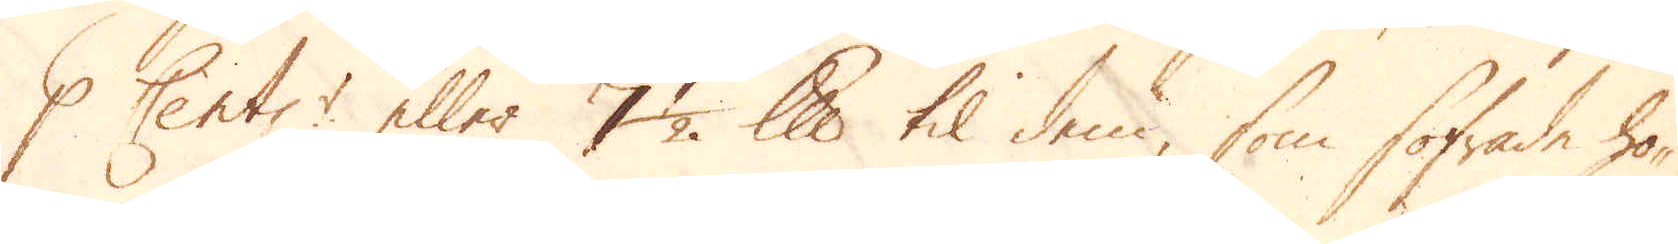p Cent:r eller 7 1/2 lispund til dem, som sofrade ho-
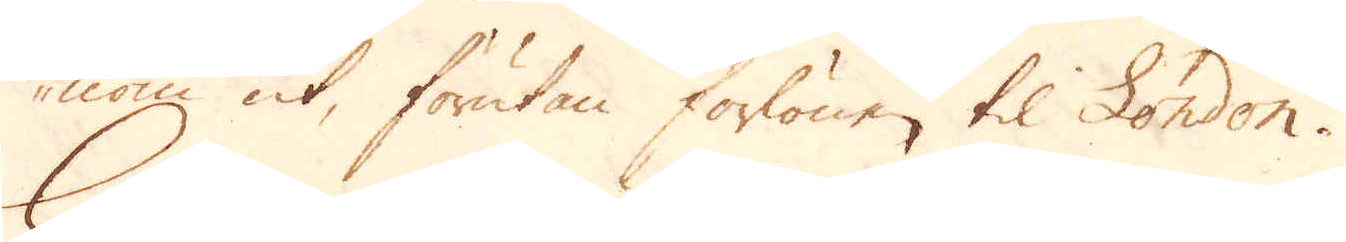nom ut, förutan forlönen til London.
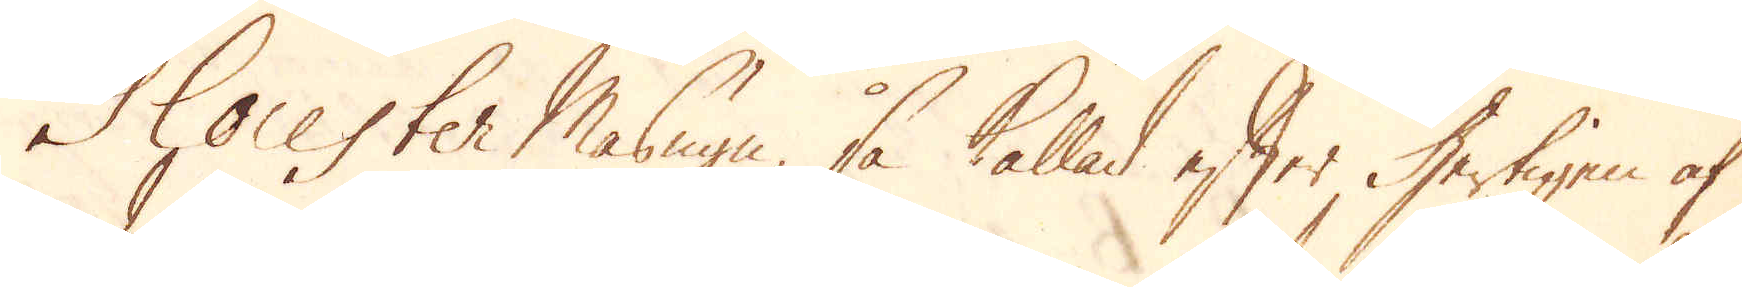Glocester Masugn, så kallad efter Hertigen af
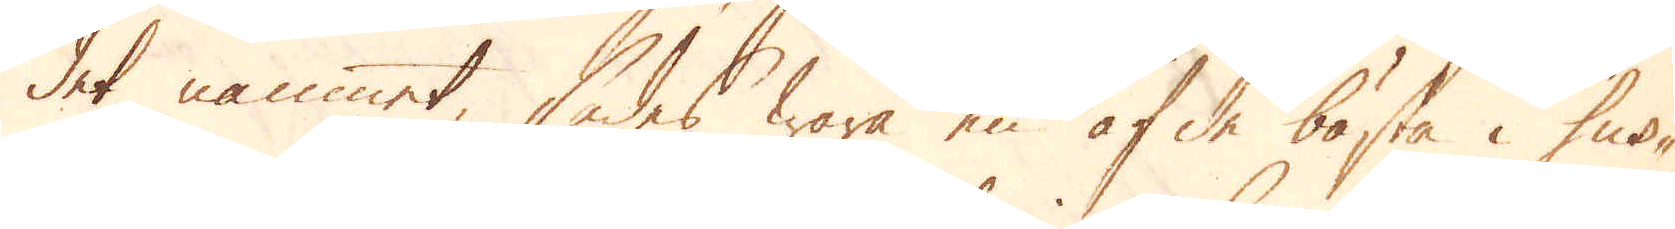det namnet, sades wara en af de bästa i Sus-
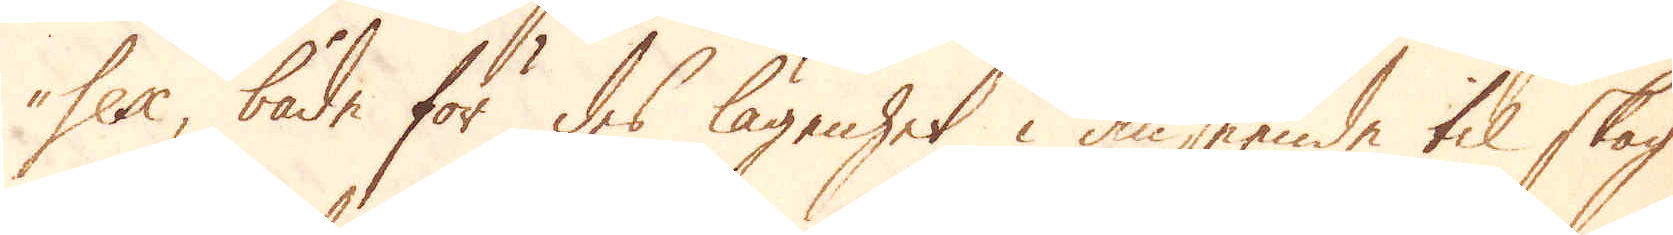sex, både för des lägenhet i anseende til skog
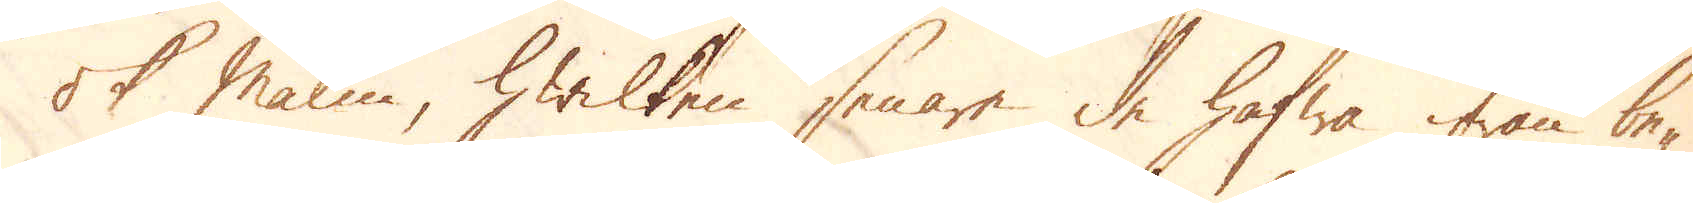ok Malm, hwilken senare de hafwa ifrån be-
